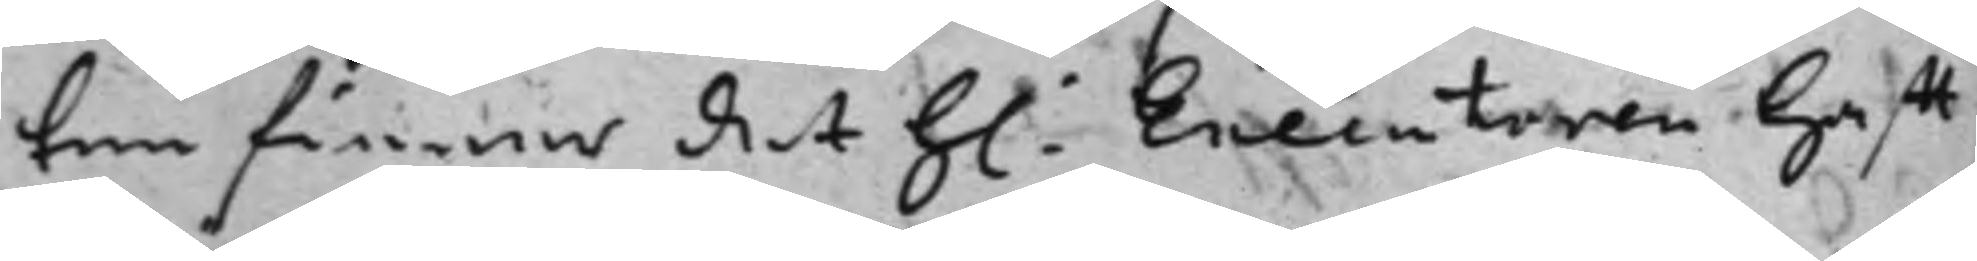ten finna det h: Executoren hafft
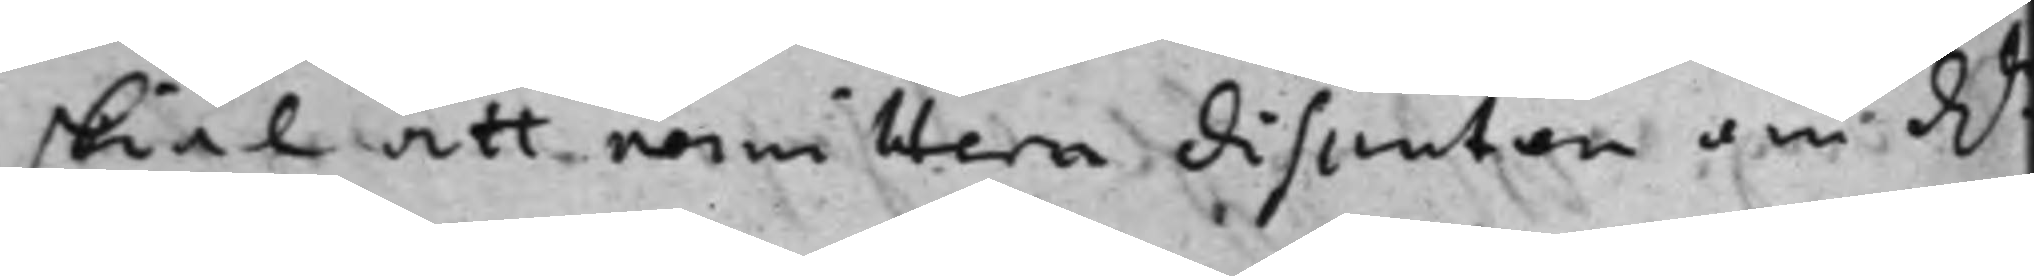skiäl att remittera disenten om Dr
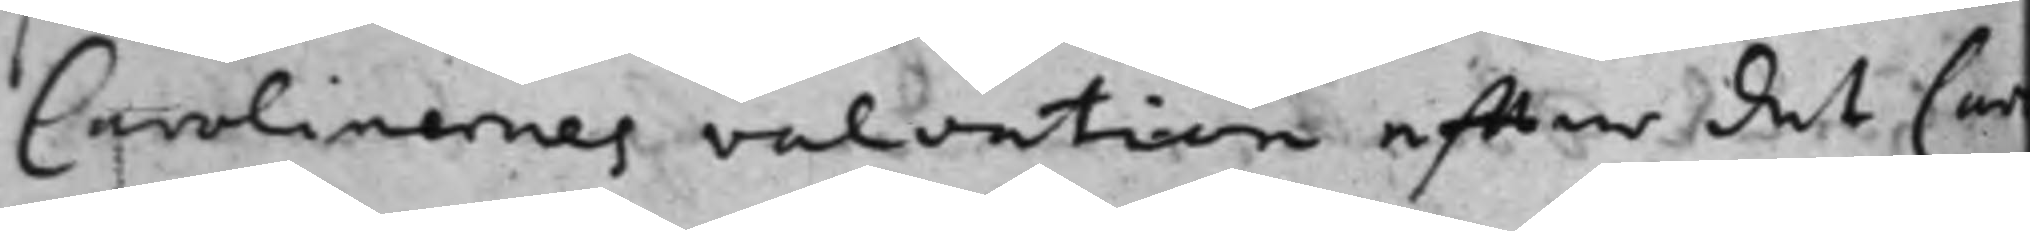Carolinernes valuation effter det Car
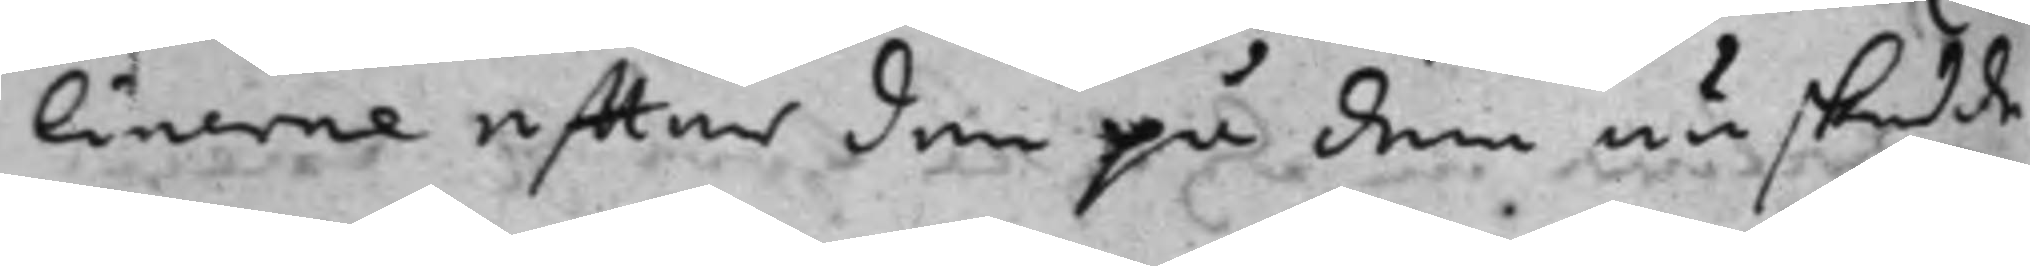linerne effter den på dem nu skedde
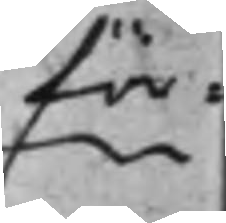för¬
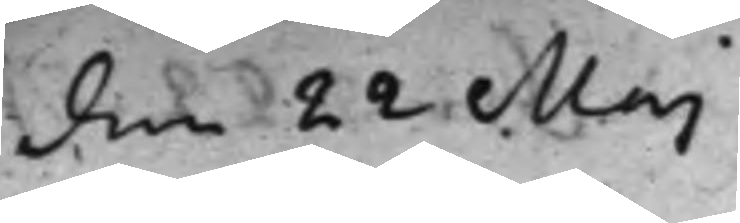den 22 Maj
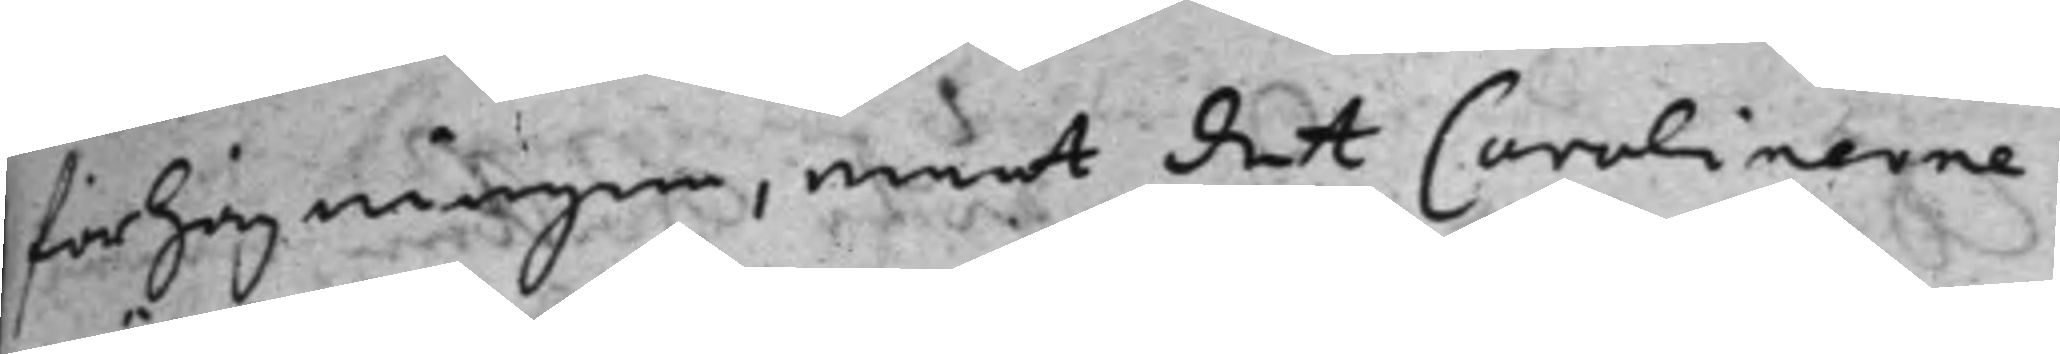förhögningen, wärt det Carolinerne
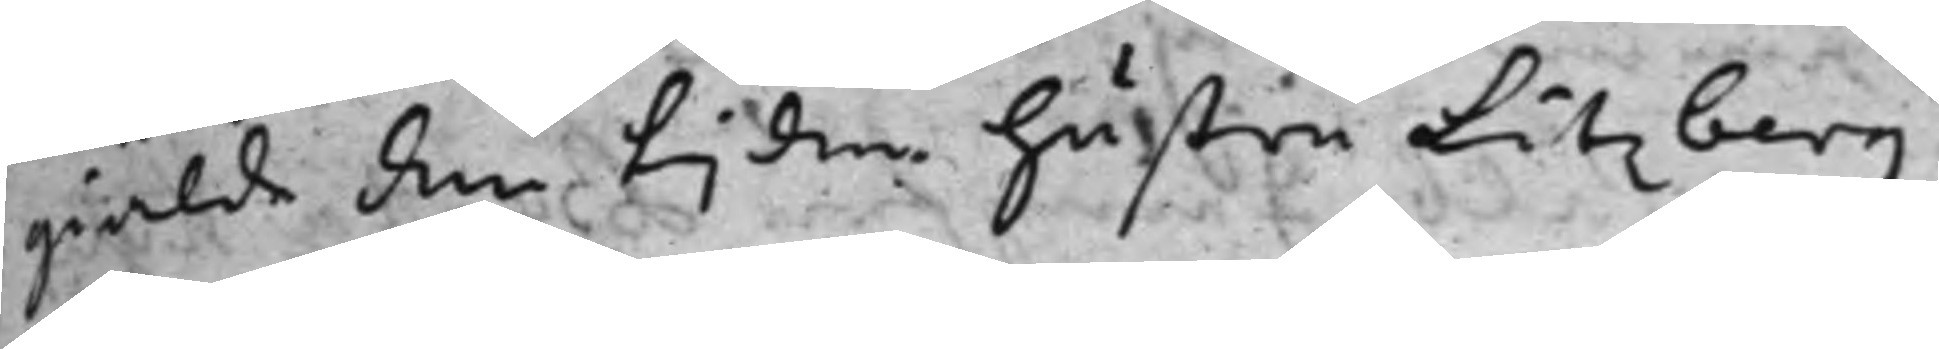giälde den tijden hustru Litzberg
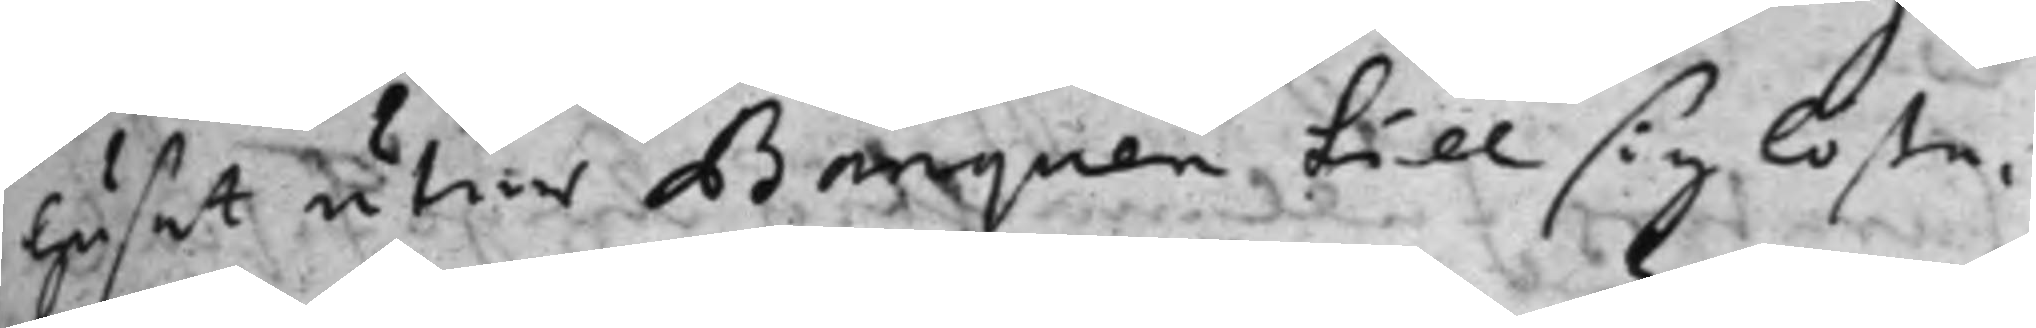huset utur Banquen till sig löste,
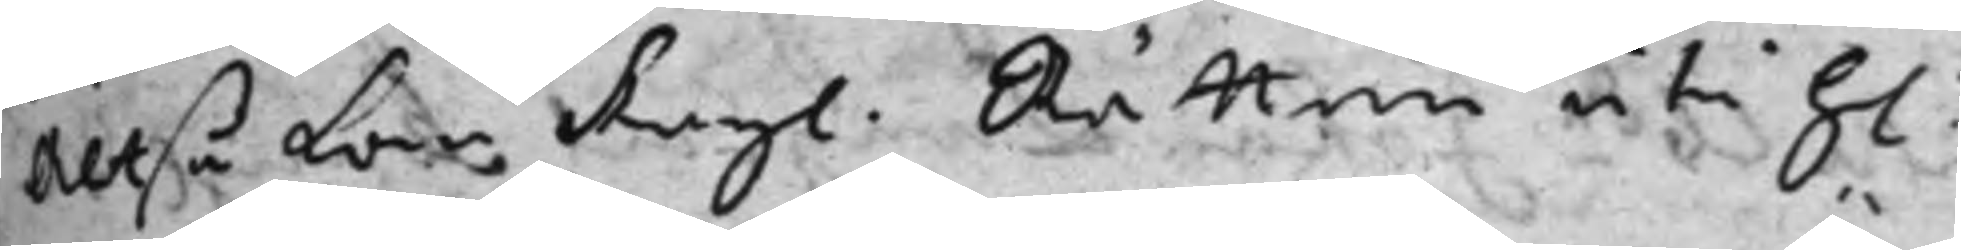Altså kan Kngl. Rätten uti h:
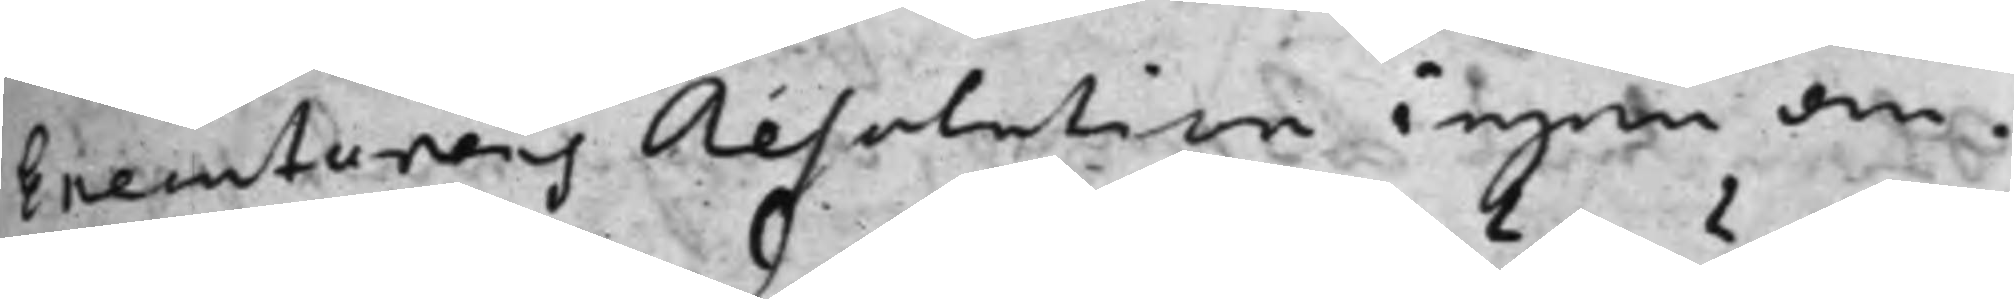Executorens Resolution ingen än¬
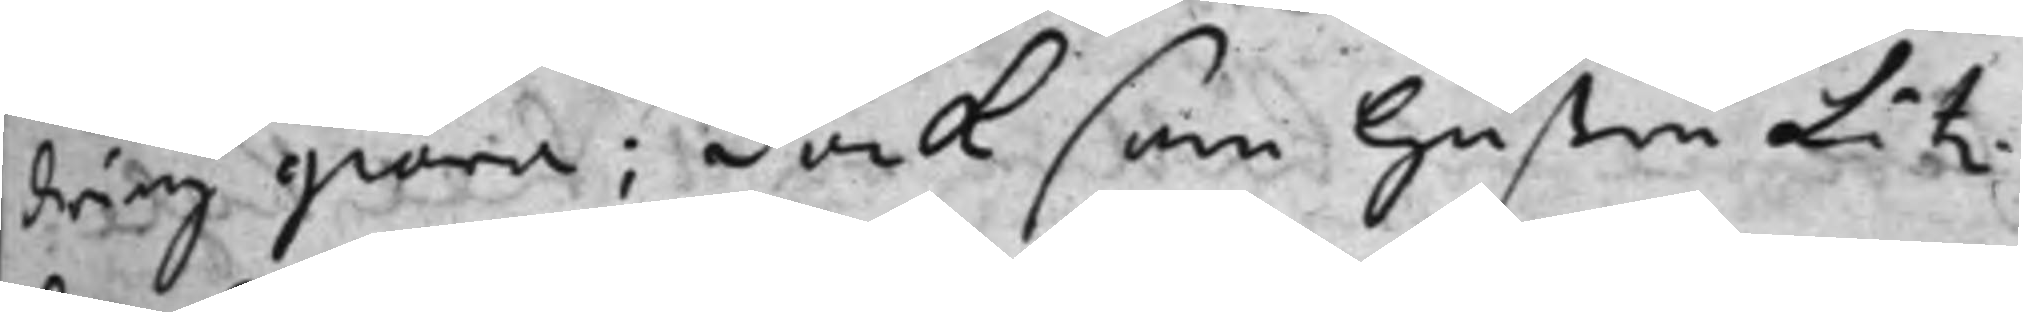dring giöra; Dock som hustru Litz¬
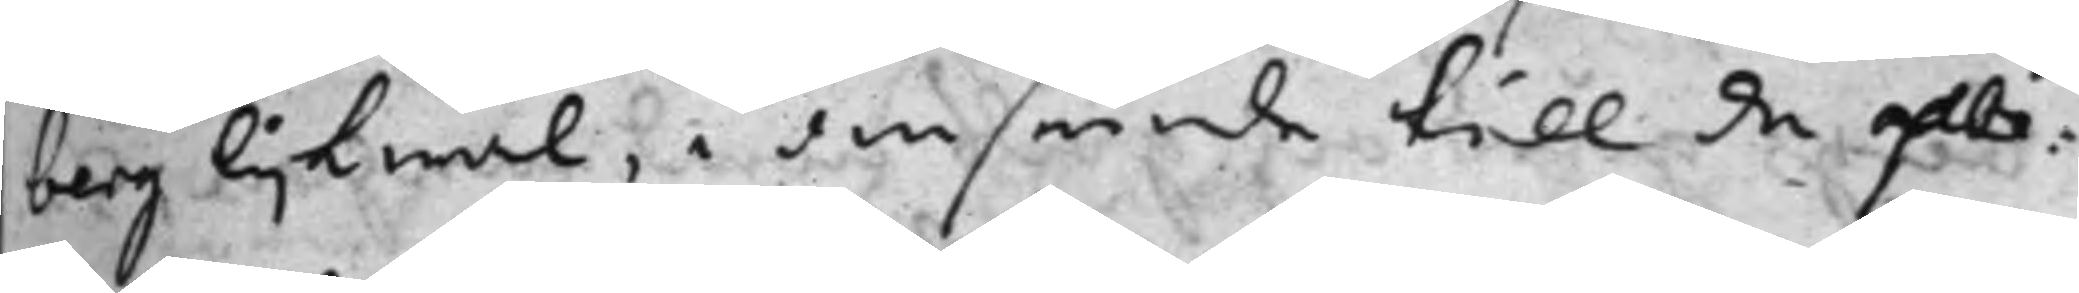berg lijkwäl, i anseende till de åbe¬
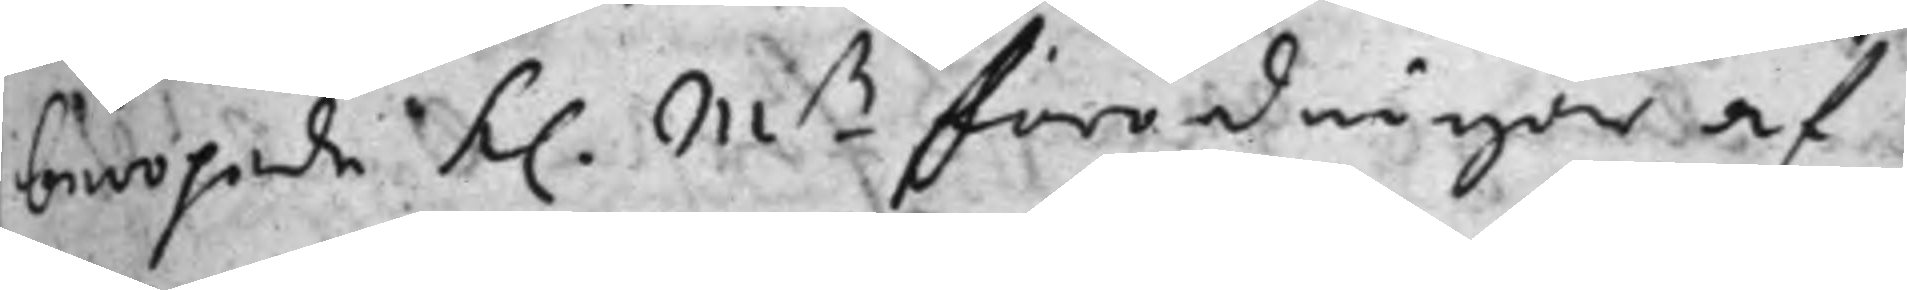beropade K. Mts förordningar af
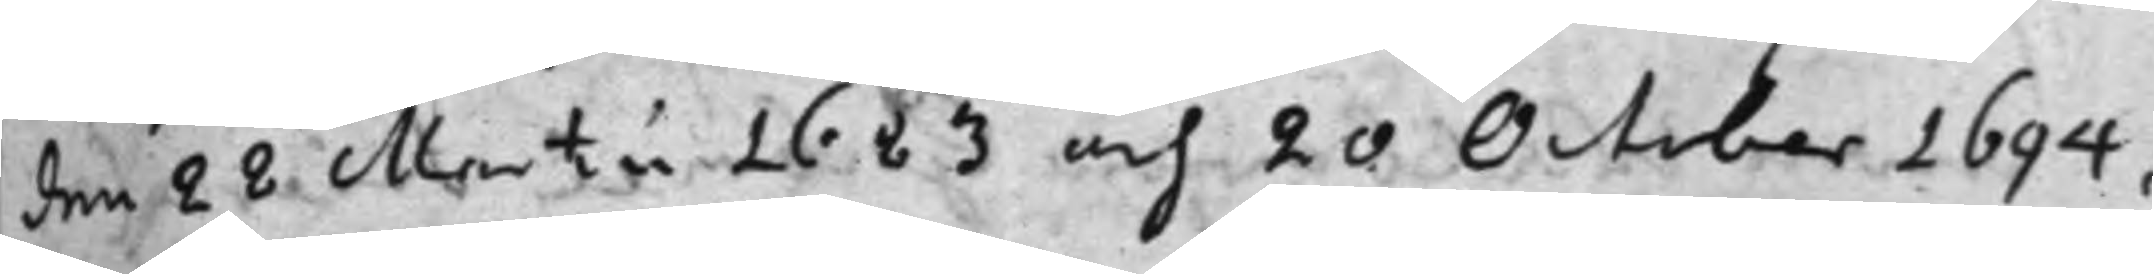den 22 Martii 1683 och 20 October 1694,
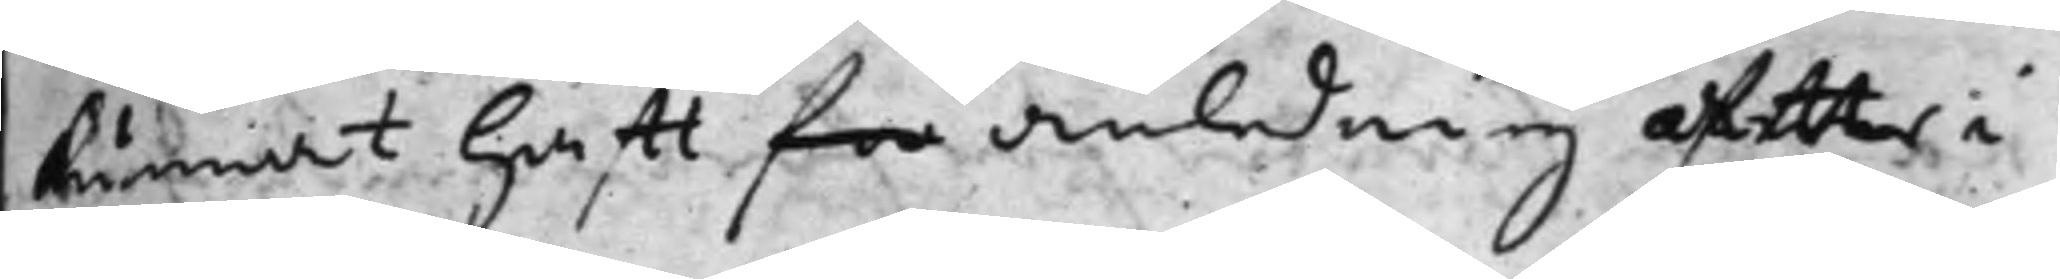kunnat hafft for anledning äftter i
